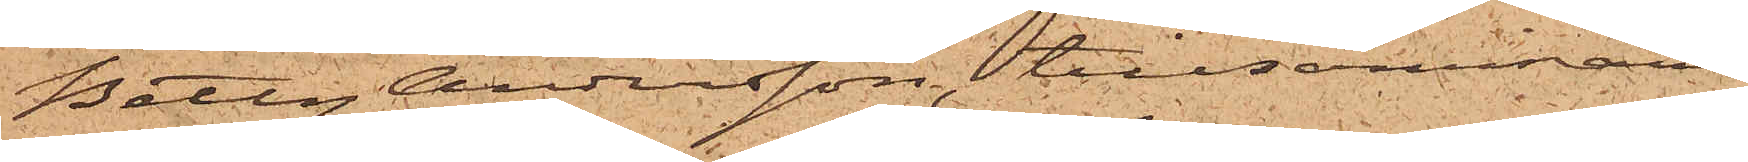Betty Andersson, tillsammans
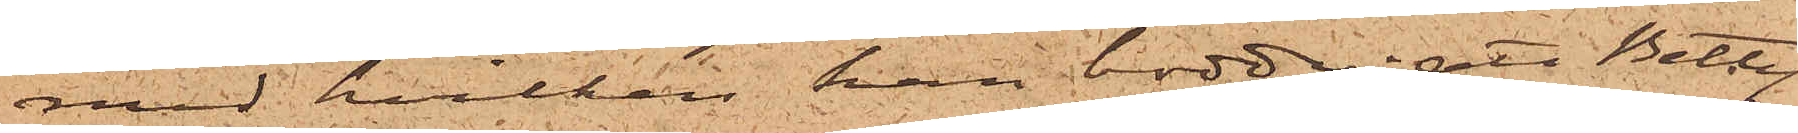med hvilken han bodde; att Betty
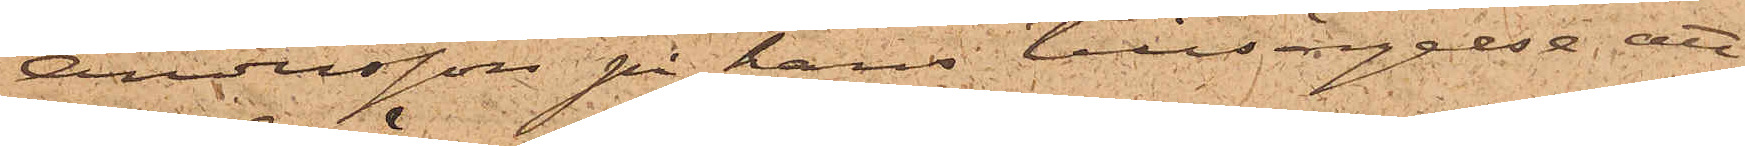Andersson på hans tillsägelse att
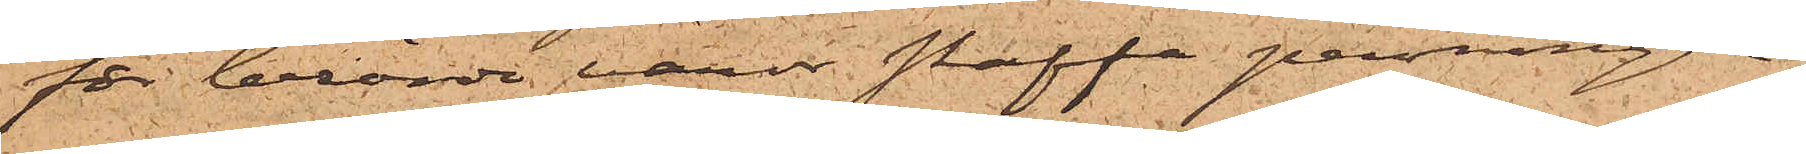för berörde varor skaffa penningar,
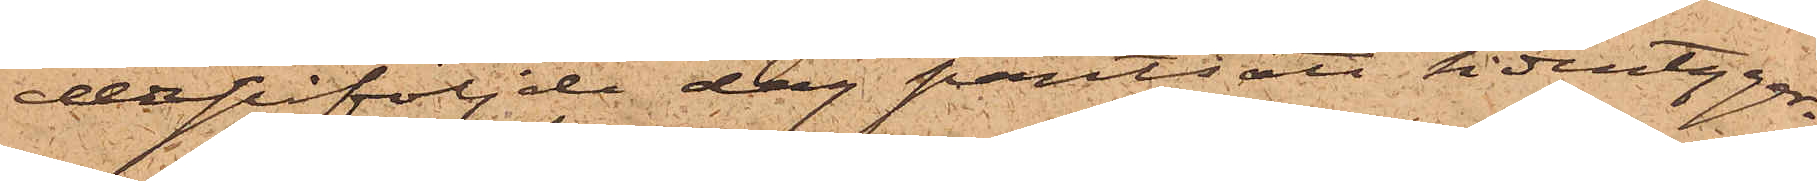derpåföljde dag pantsatt sidentyger¬
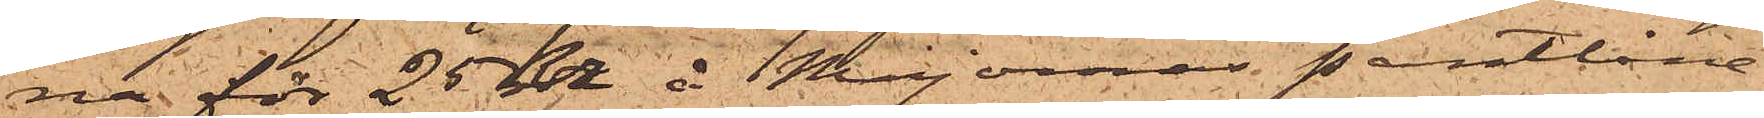na för 25 kr i Majornas Pantlåne¬
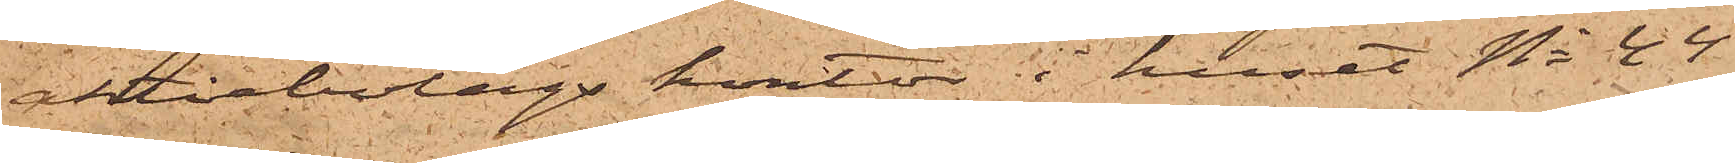aktiebolags kontor i huset No 44
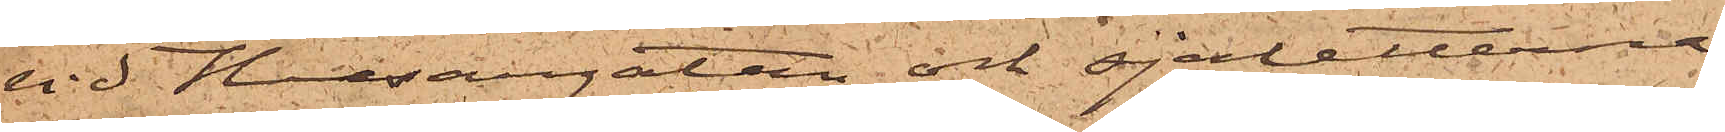vid Husargatan och sjaletterna,
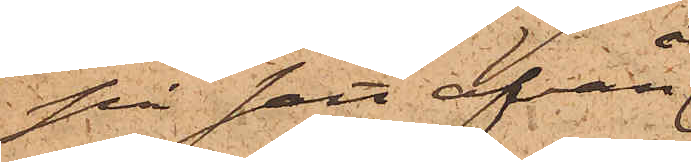på sätt ofvan
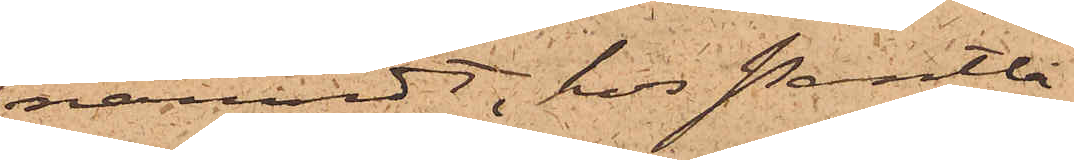nämndt, hos Pantlå¬
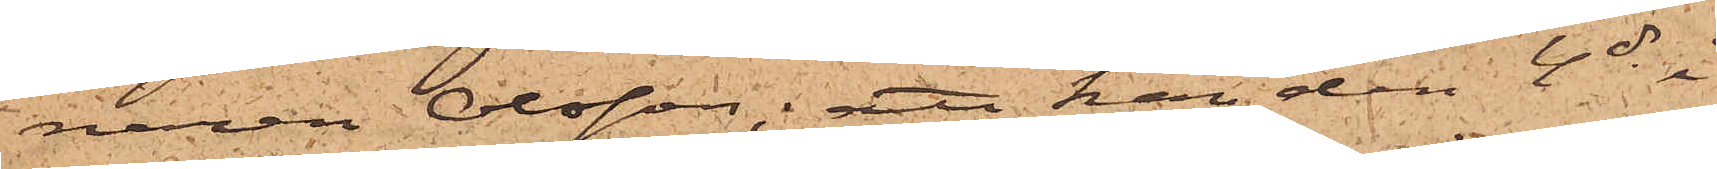naren Olsson; att han den 4 ds i
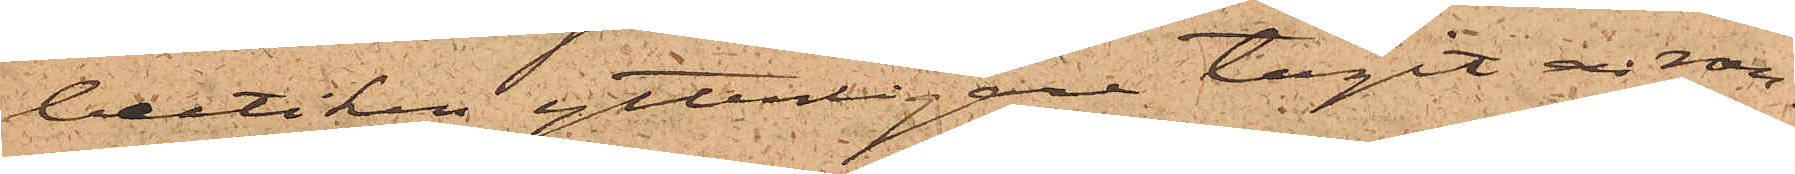butiken ytterligare tagit en ran¬
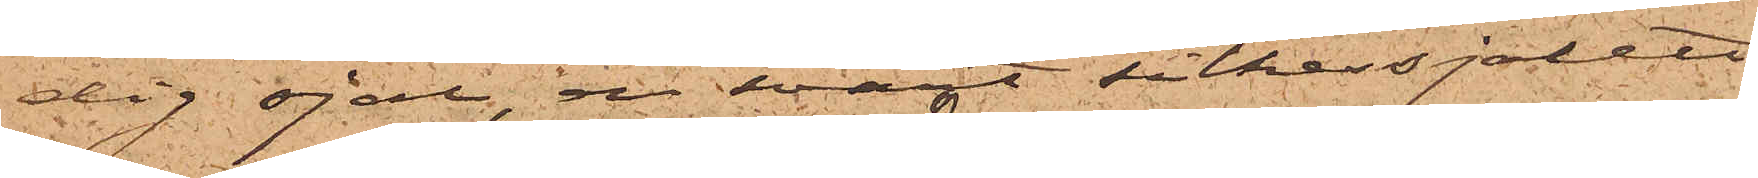dig sjal, en svart silkessjalett
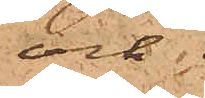och
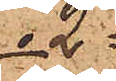2.
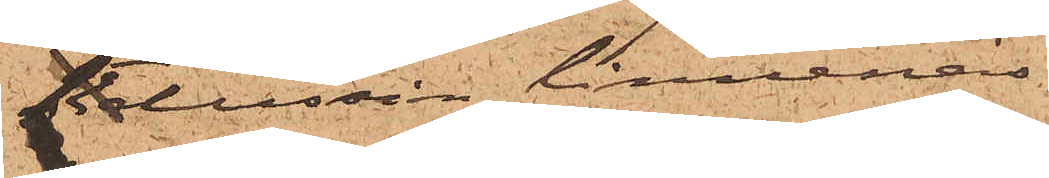dussin linnenäs¬
